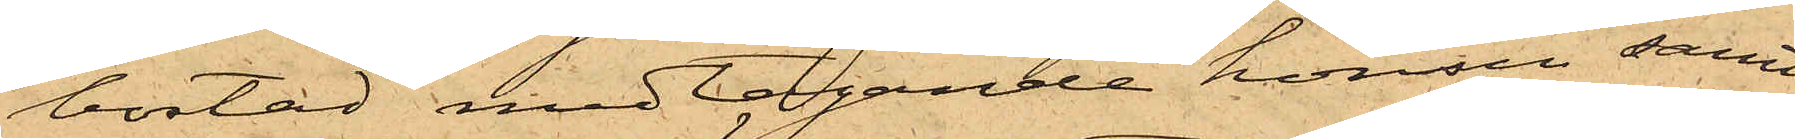bostad medtagande hönsen samt
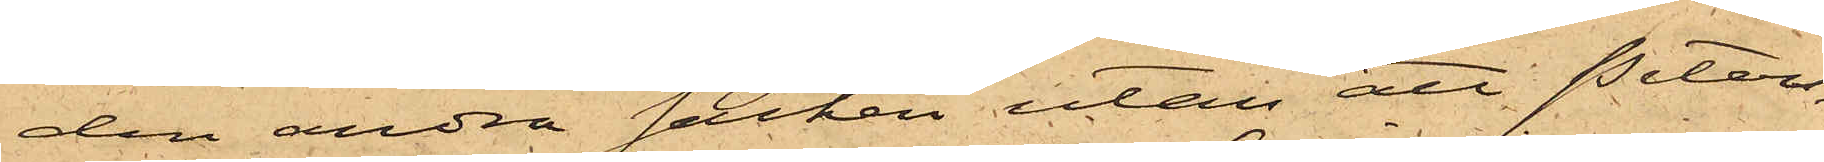den andra säcken utan att Peters¬
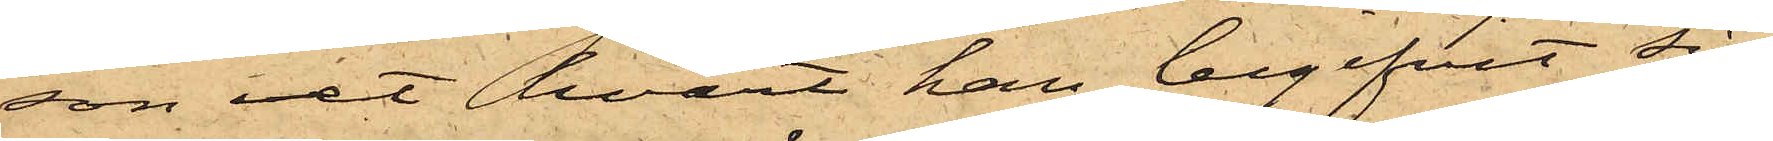son vet hvart han begifvit sig.
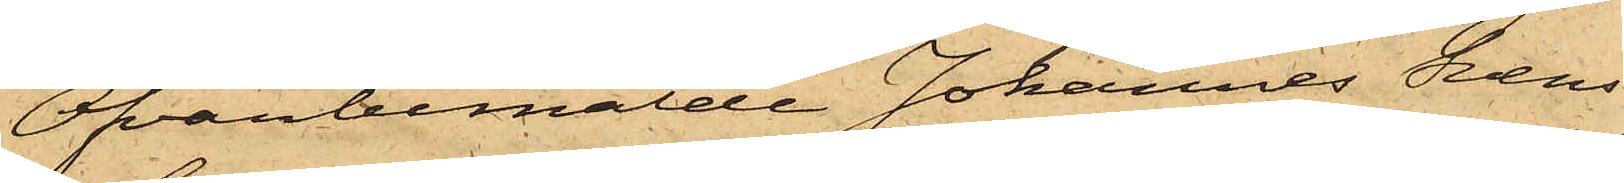Ofvanbemälde Johannes Svens¬
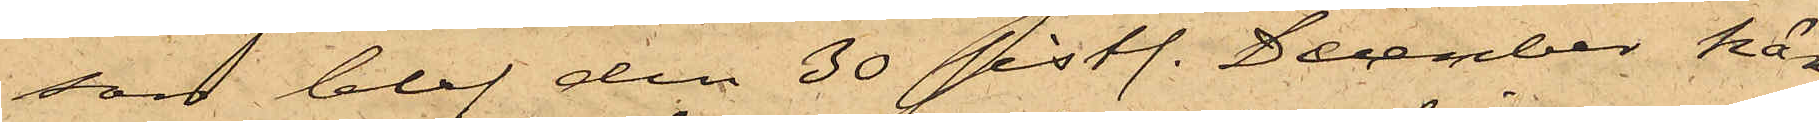son blef den 30 sistl. December här
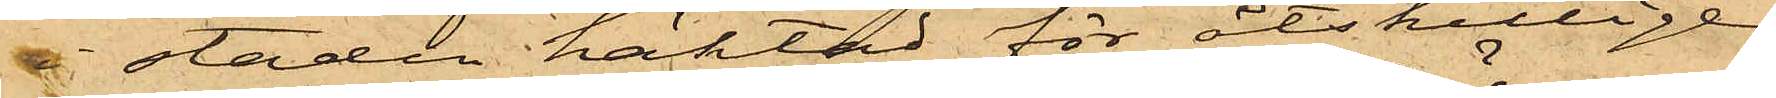i staden häktad för åtskillige
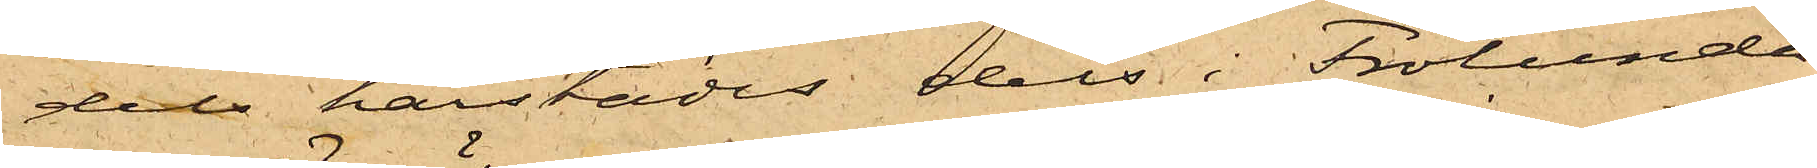dels härstädes dels i Frölunda
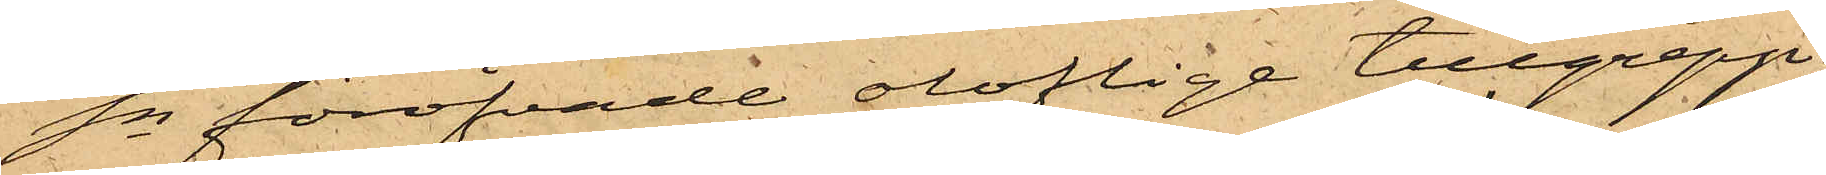Sn föröfvade oloflige tillgrepp,
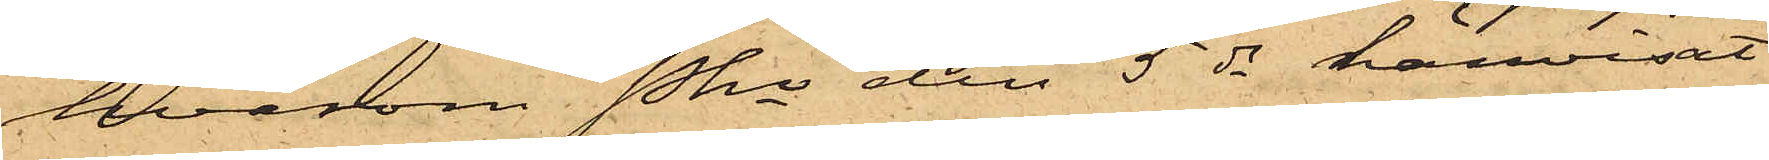hvarom Pkn den 5 ds hänvisat
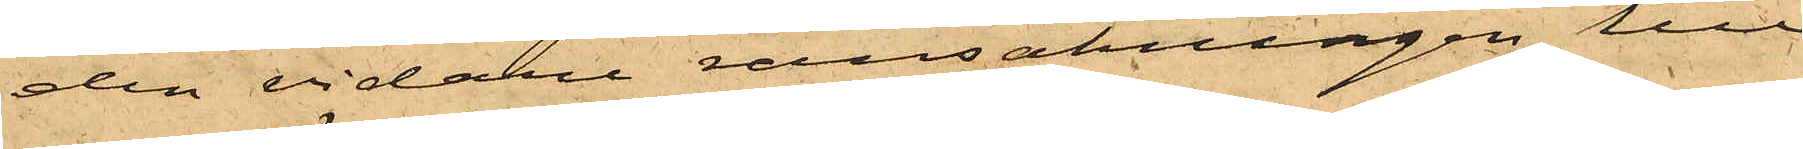den vidare ransakningen till
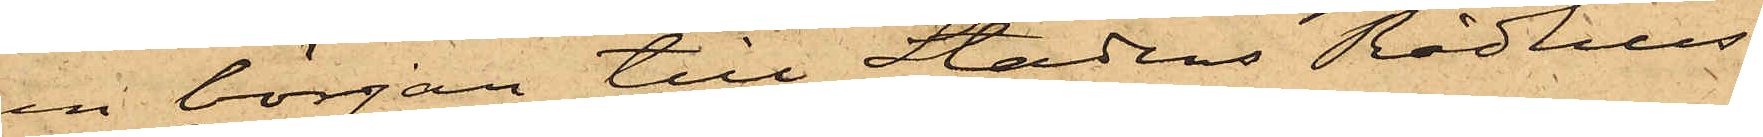en början till Stadens Rådhus¬
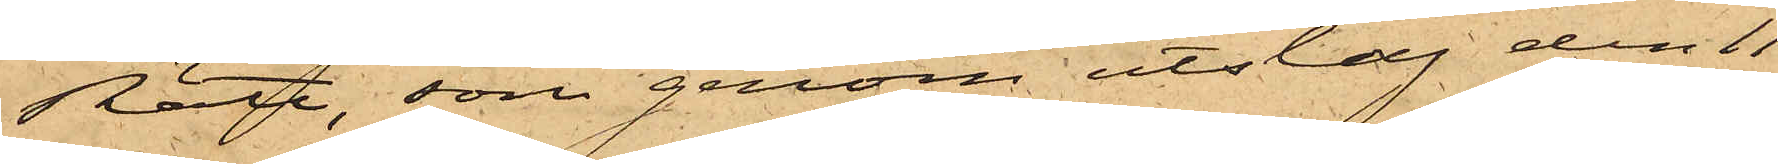Rätt, som genom utslag den 11
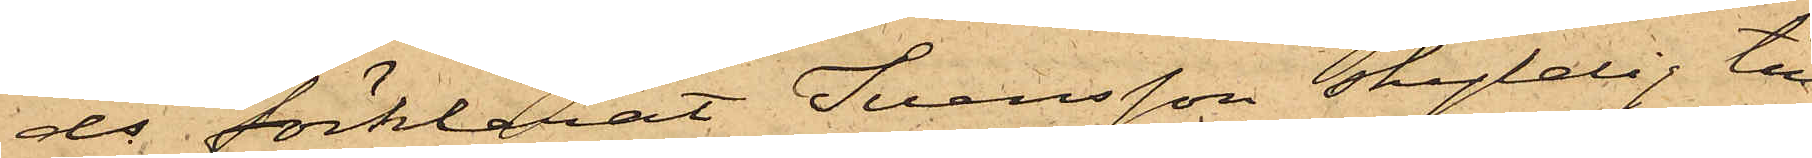ds förklarat Svensson skyldig till
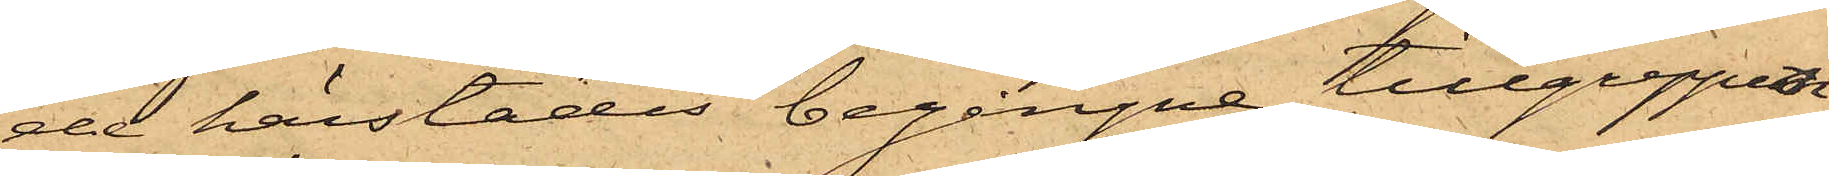de härstädes begångne tillgreppen
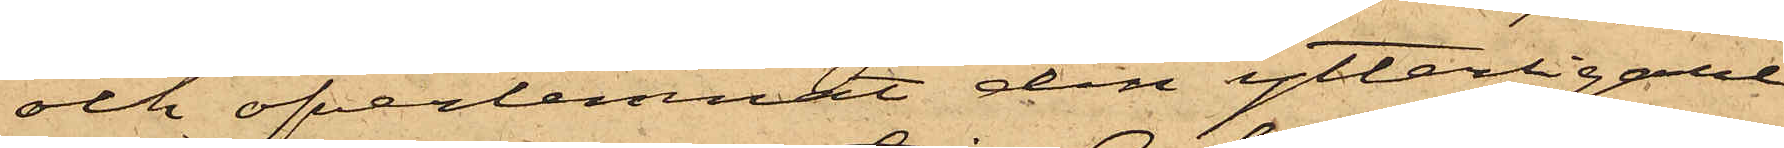och öfverlemnat den ytterligare
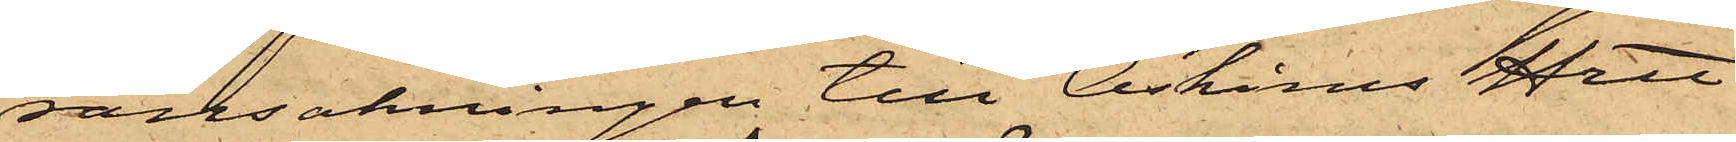ransakningen till Askims Hrtt.
